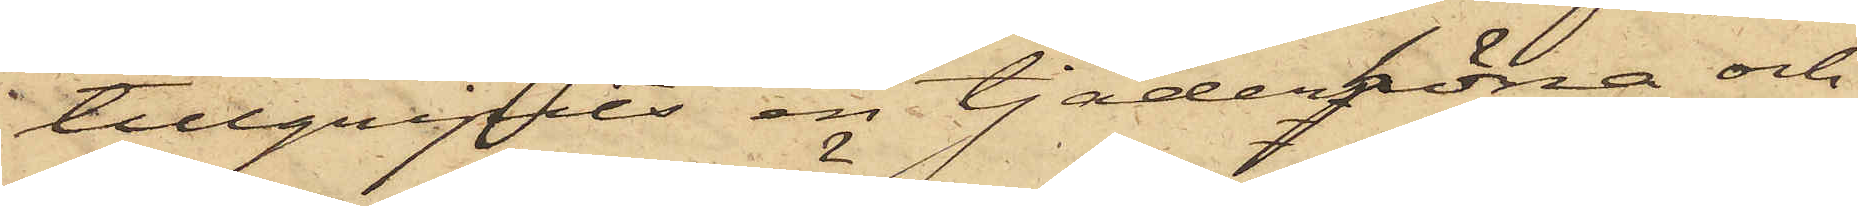tillgripits en tjäderhöna och
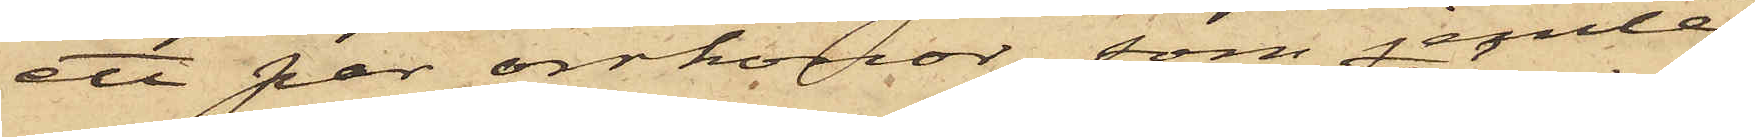ett par orrhönor, som jemte
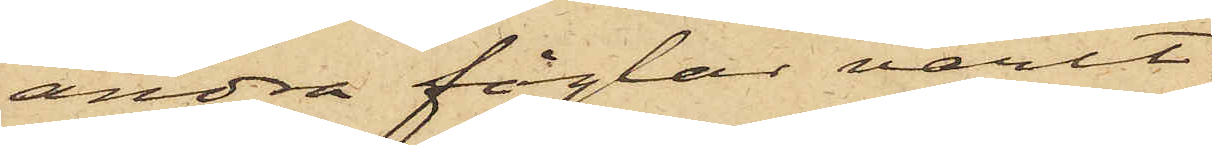andra fåglar varit
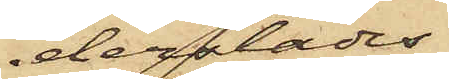derstädes
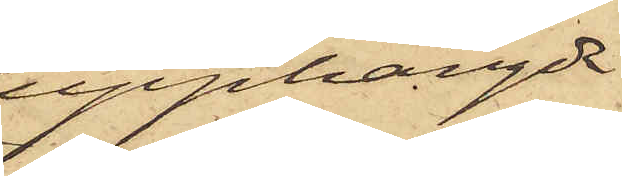upphängde
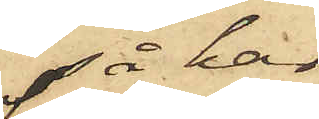så har
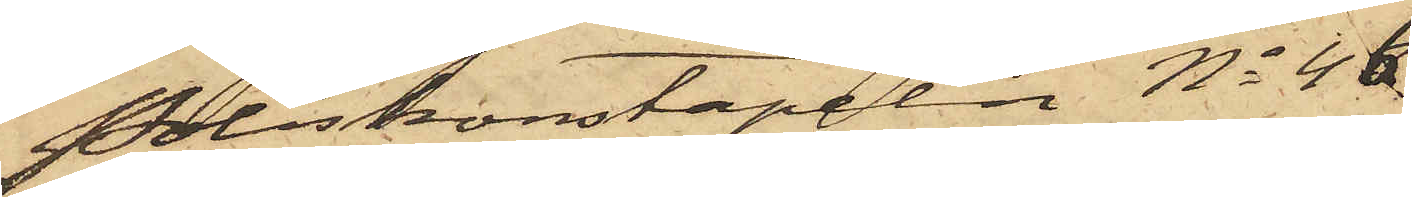Poliskonstapeln No 46
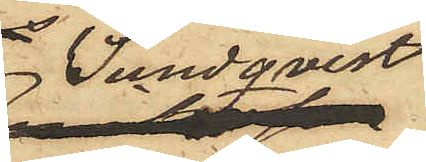Sundqvist
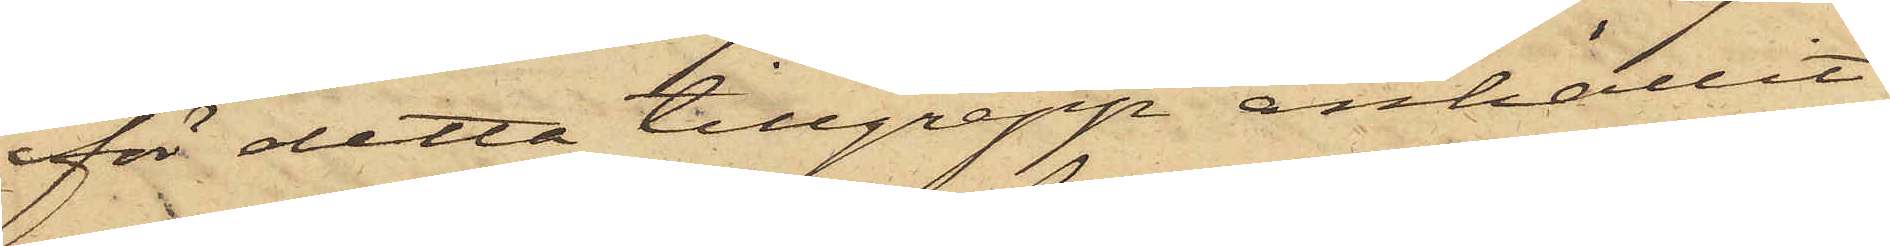för detta tillgrepp anhållit
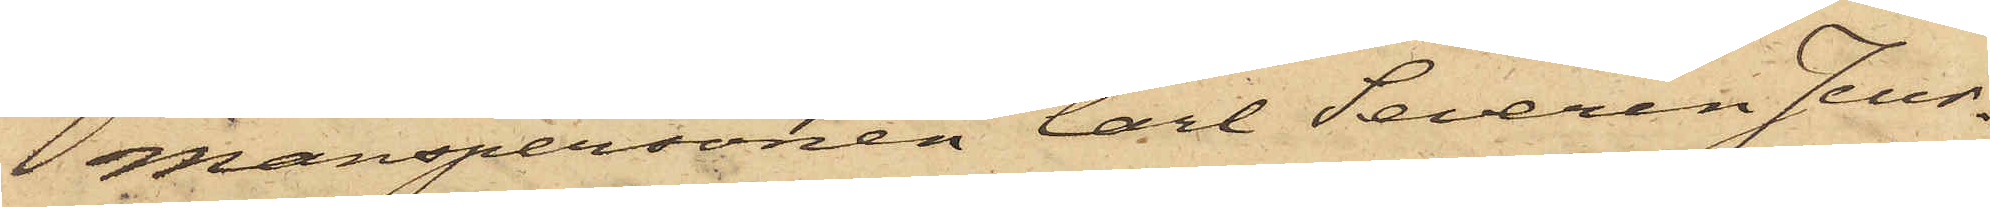manspersonen Carl Severin Jeur¬
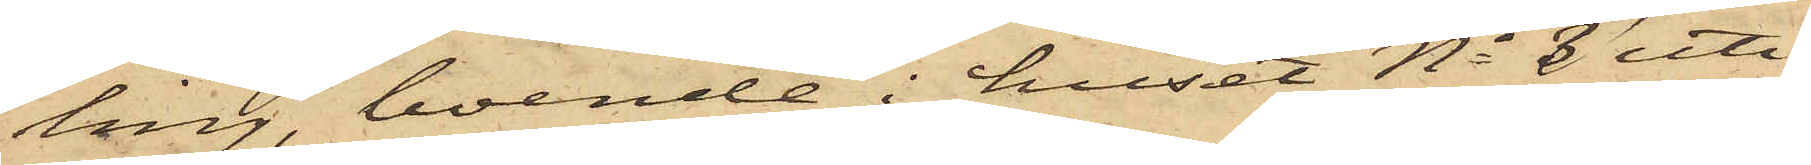ling, boende i huset No 8 uti
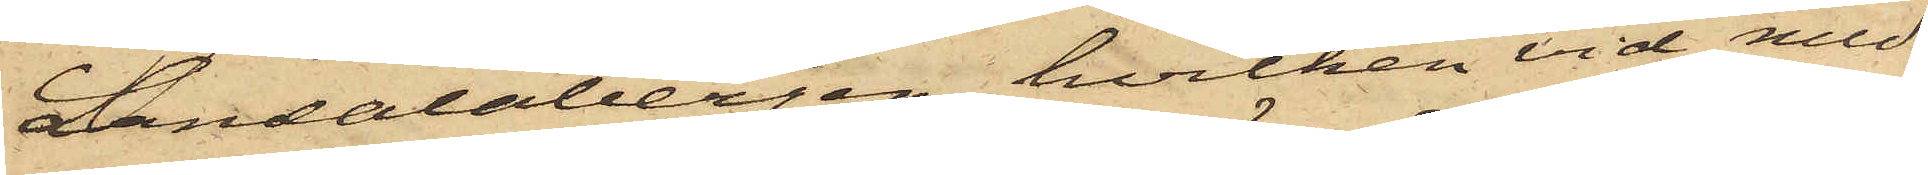Landalabergen, hvilken vid med
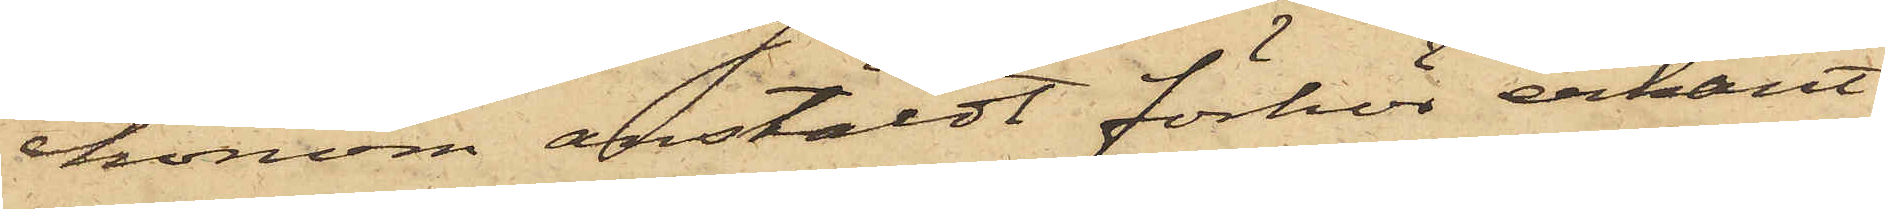honom anstäldt förhör erkänt
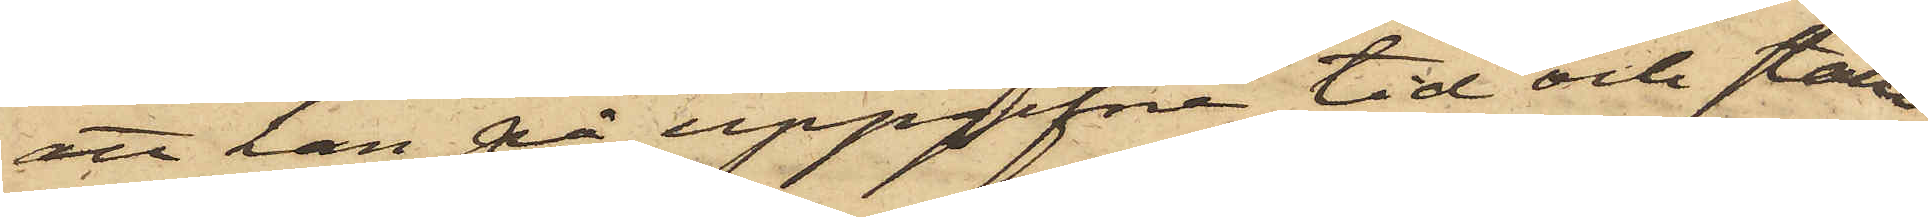att han på uppgifna tid och ställe
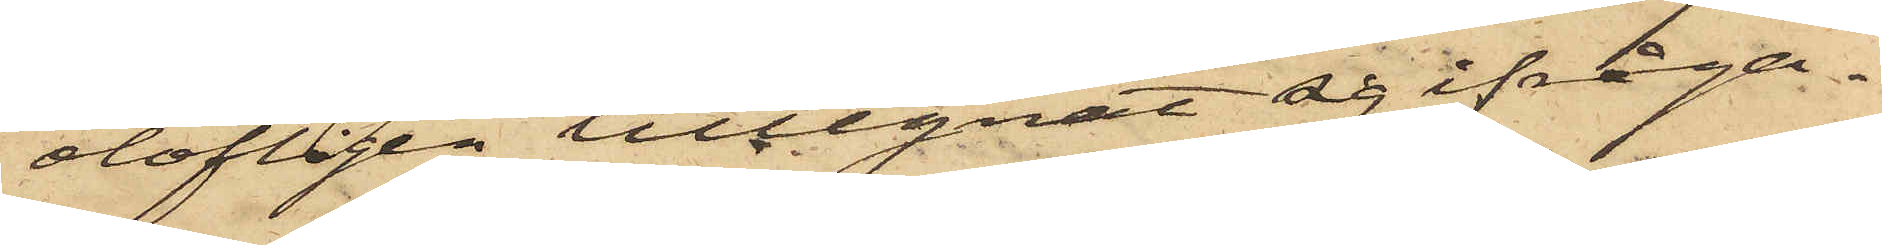olofligen tillegnat sig ifråga¬
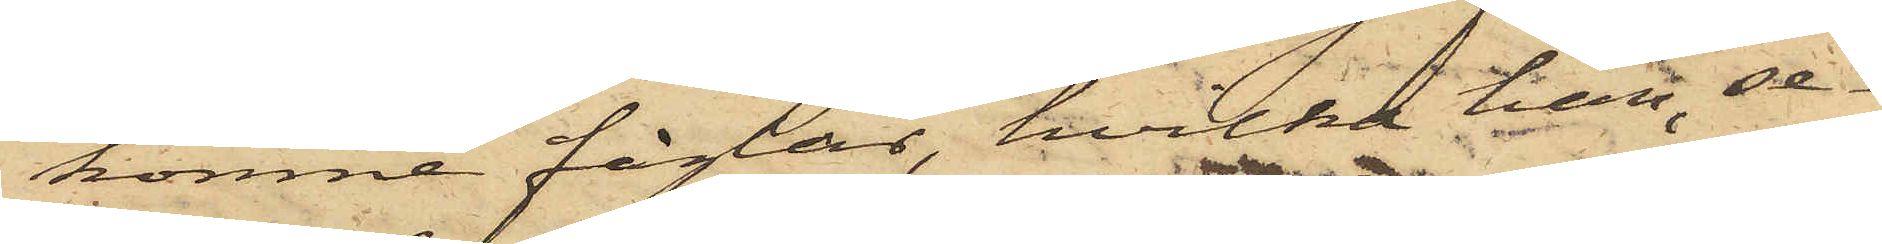komne fåglar, hvilka han, se¬
